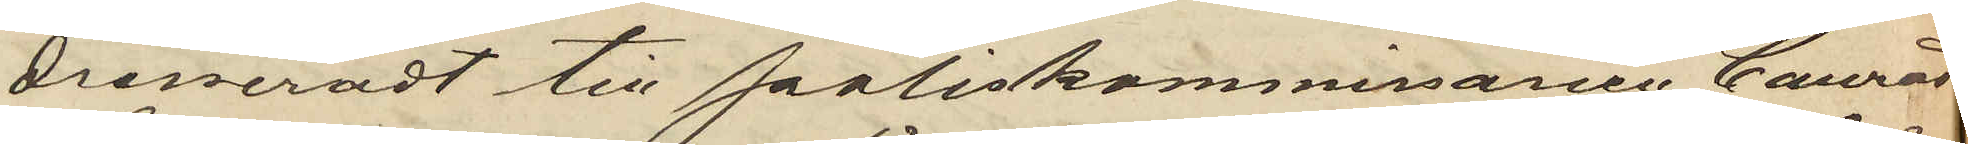dresseradt till Poliskommissarien Conrad
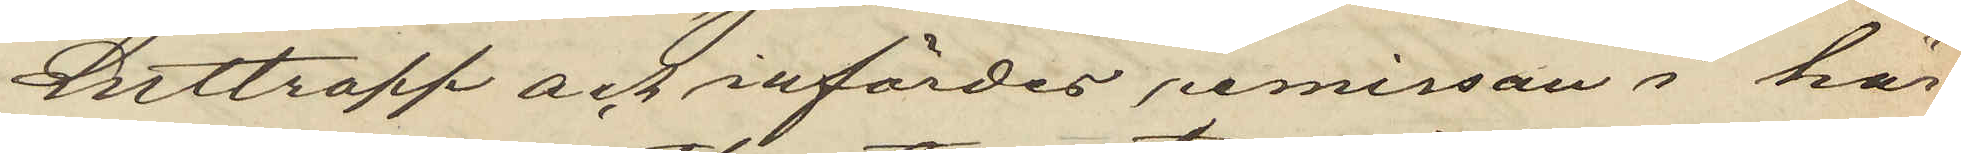Luttropp och infördes remissan i här¬
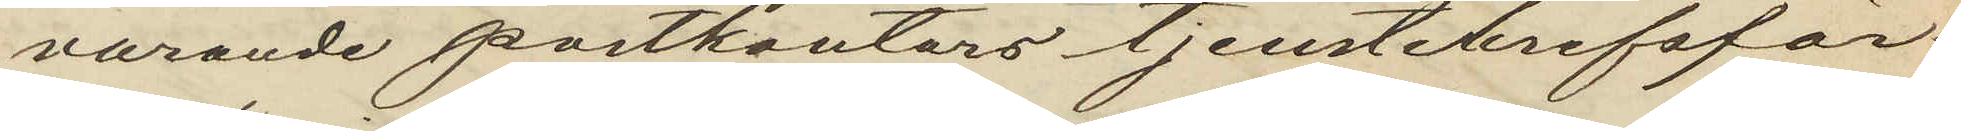varande postkontors tjenstebrefsför¬
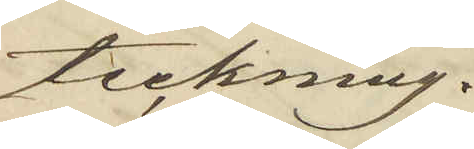teckning.
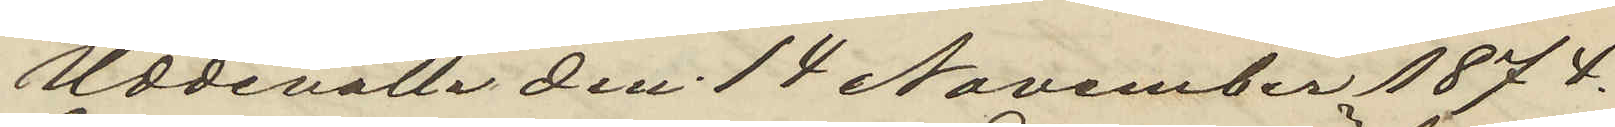Uddevalla den 14 November 1874.
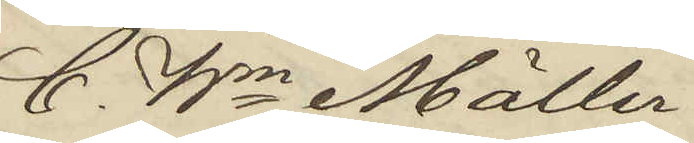C. Wm Möller
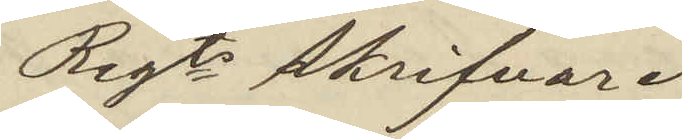Regts skrifvare
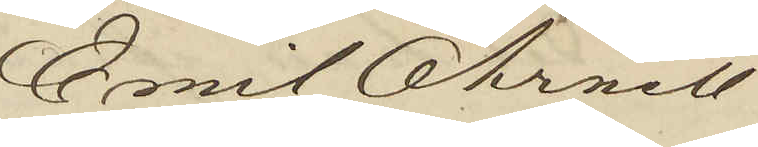Emil Öhrwall
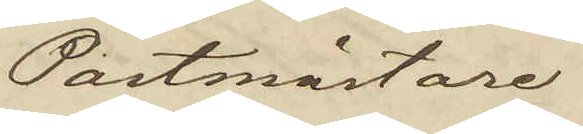Postmästare
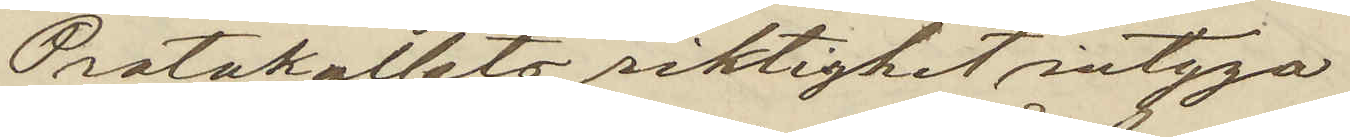Protokollets riktighet intyga:
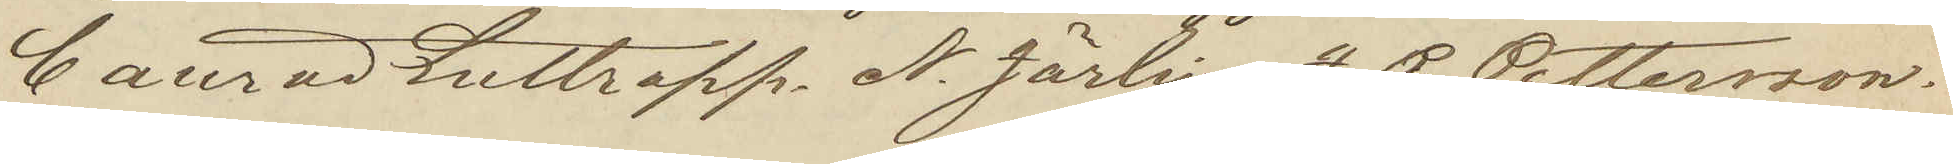Conrad Luttropp N Jörlin J. P. Pettersson.
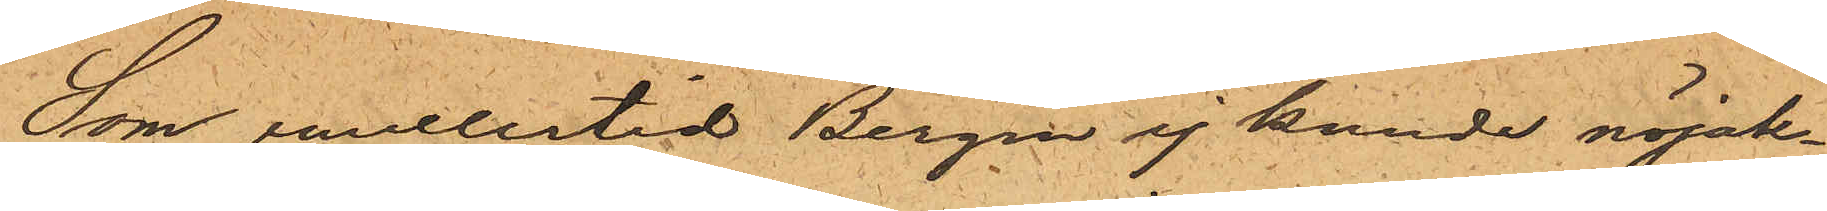Som emellertid Bergin ej kunde nöjak¬
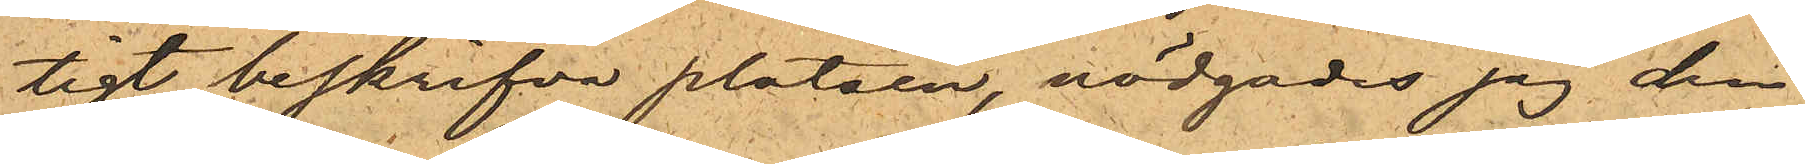tigt beskrifva platsen, nödgades jag den
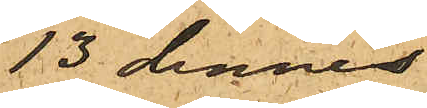13 dennes
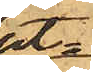ut¬
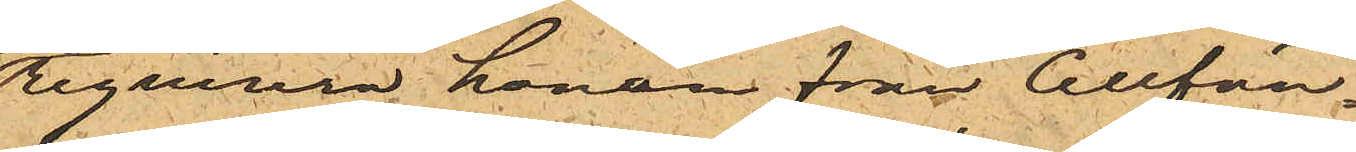reqvirera honom från Cellfän¬
